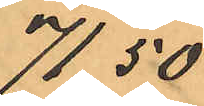71,50
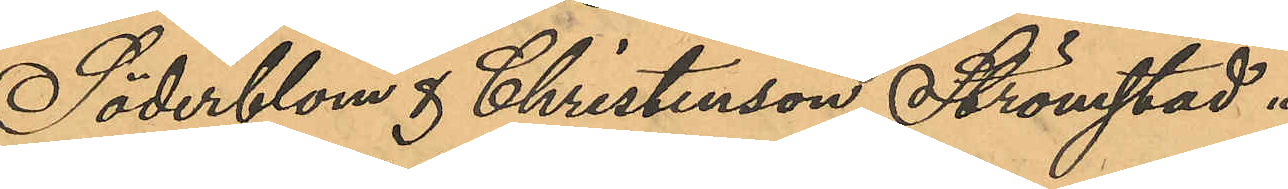Söderblom & Christenson, Strömstad
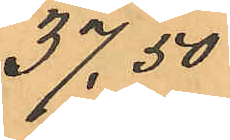37,50
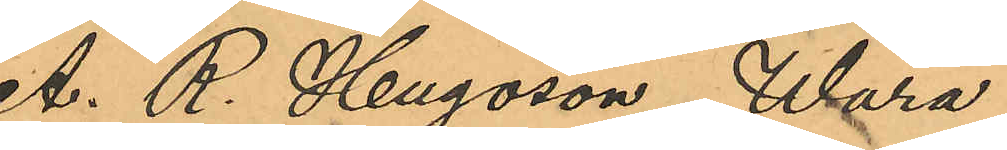A. R. Hugosson, Wara
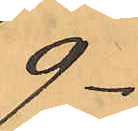9
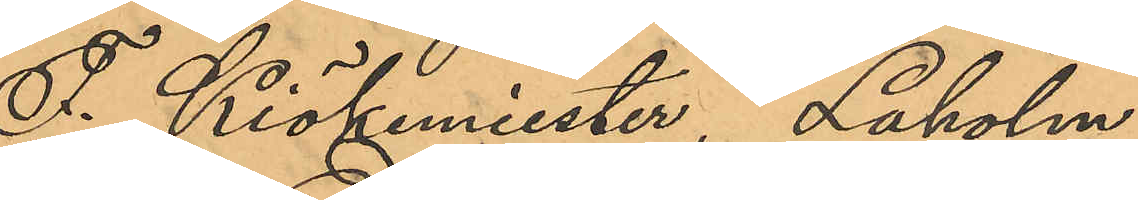F. Kiökemiester, Laholm
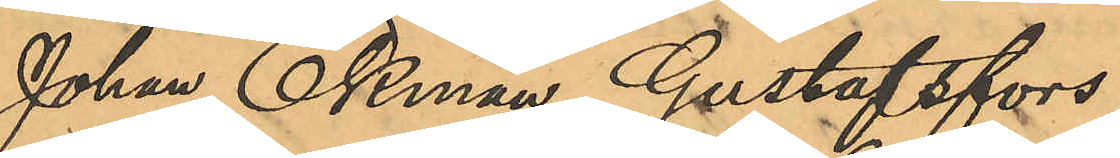Johan Ekman, Gustafsfors
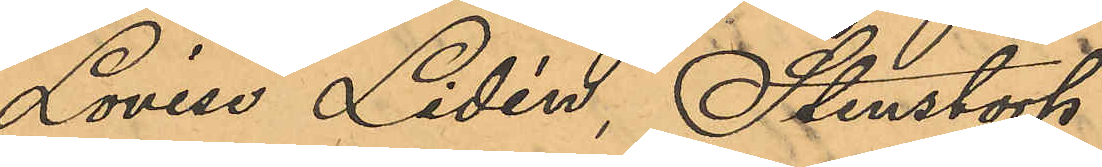Lovise Lidén, Stenstorp
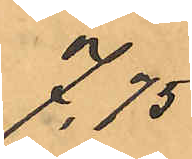7,75
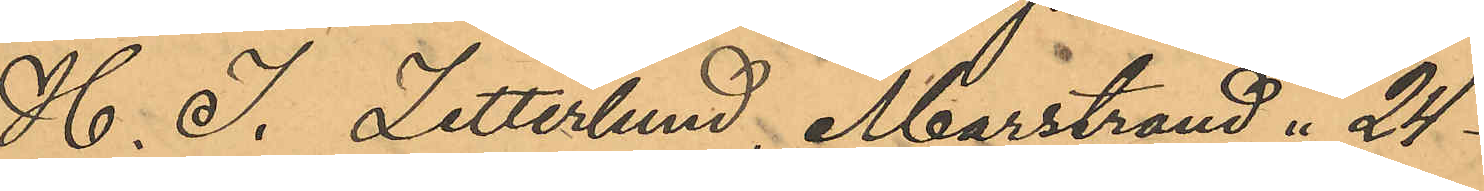H. J. Zetterlund, Marstrand 24
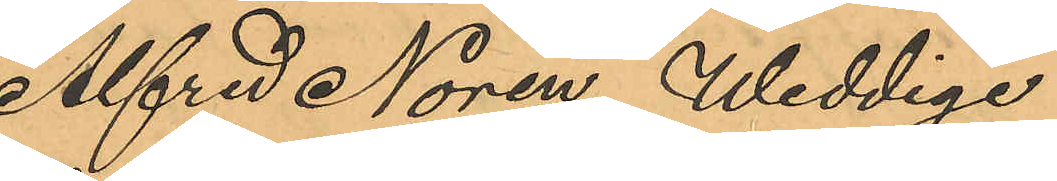Alfred Norén, Weddige
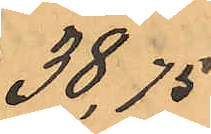38,75
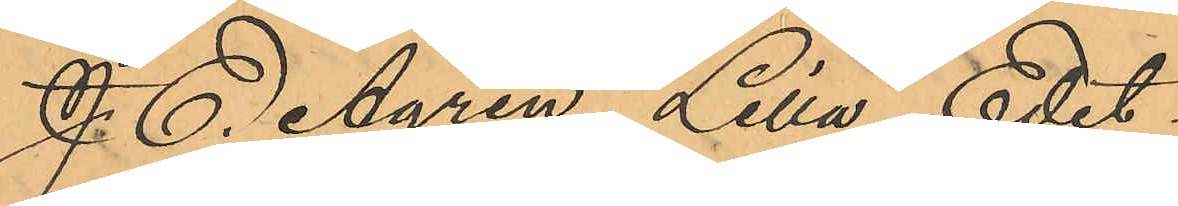J. E. Ågren, Lilla Edet
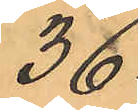36
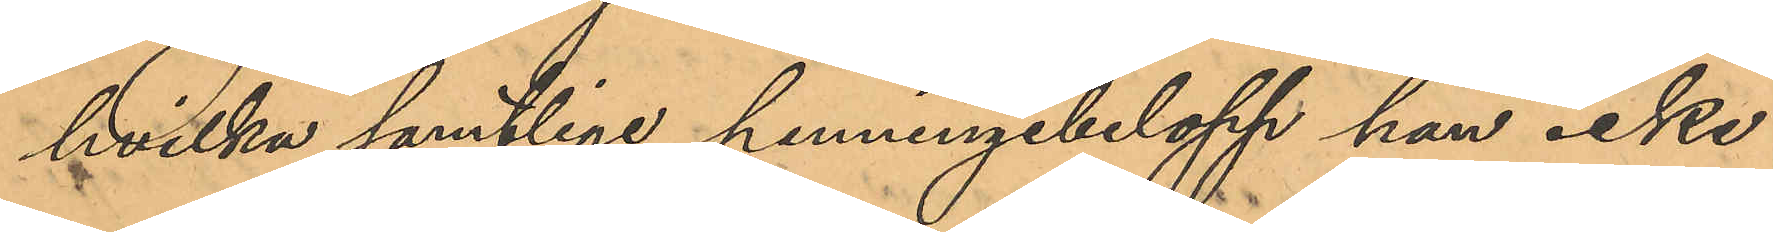hvilka samtlige penningebelopp han icke
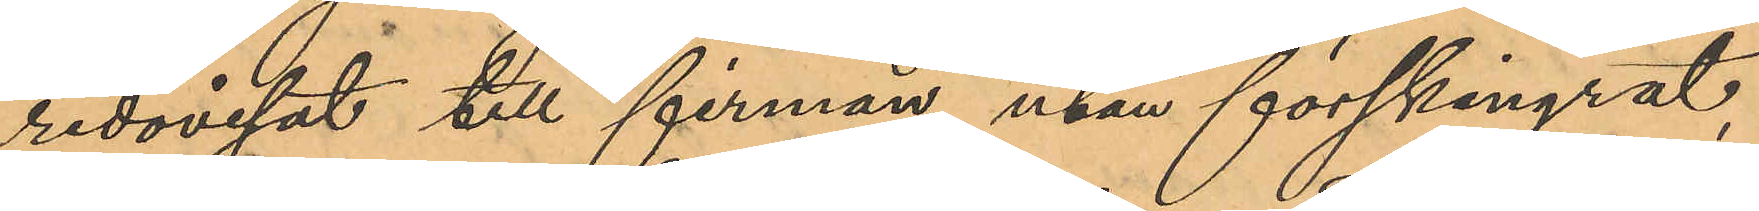redovisat till firman utan förskingrat,
